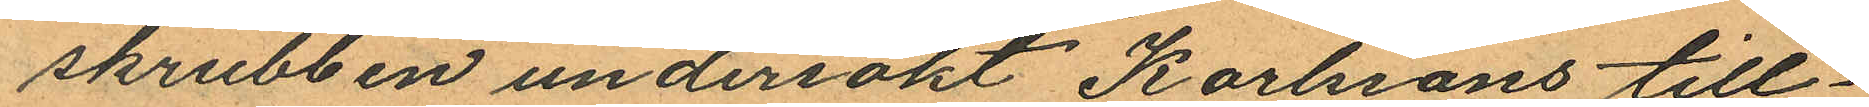skrubben undersökt Karlssons till¬
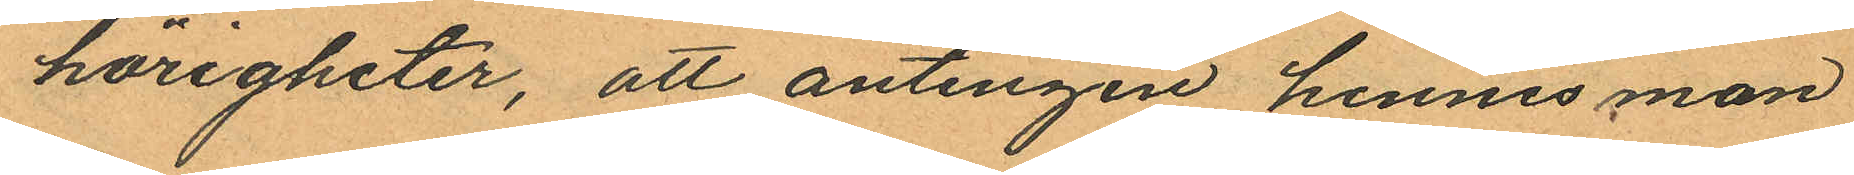hörigheter, att antingen hennes man
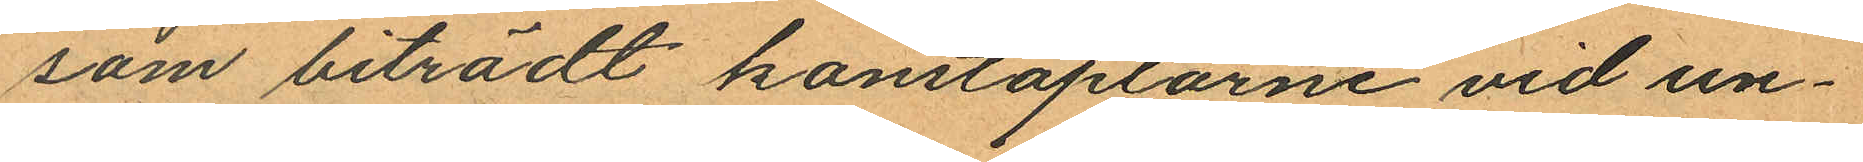som biträdt konstaplarne vid un¬
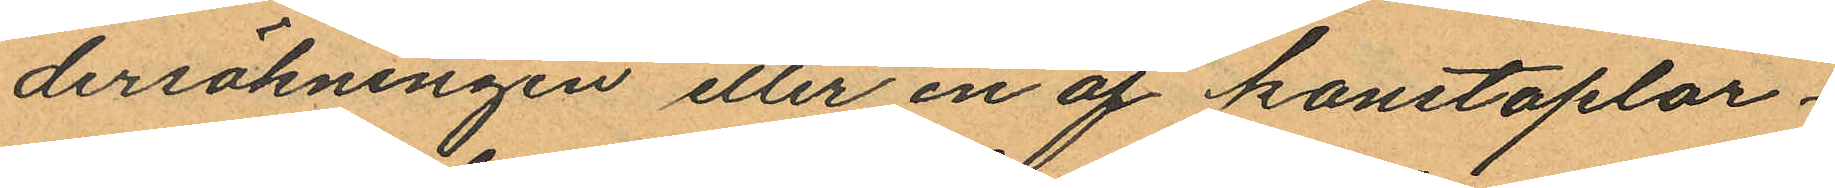dersökningen eller en af konstaplar¬
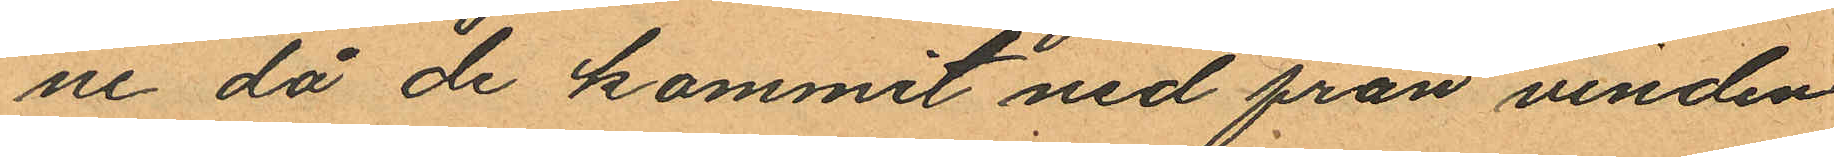ne då de kommit ned från vinden
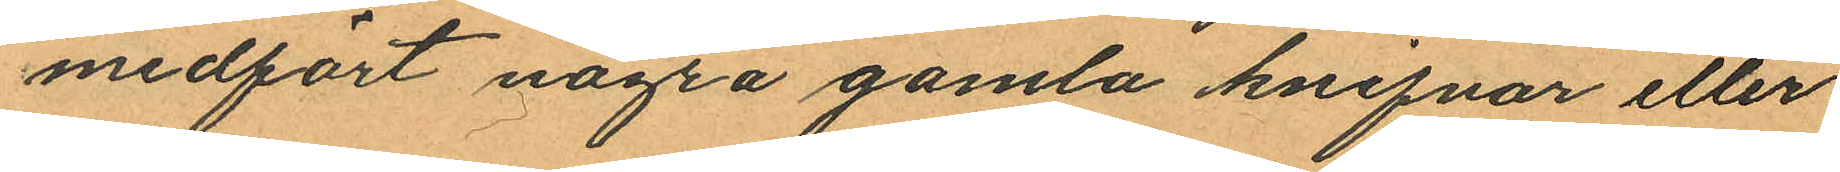medfört några gamla knifvar eller
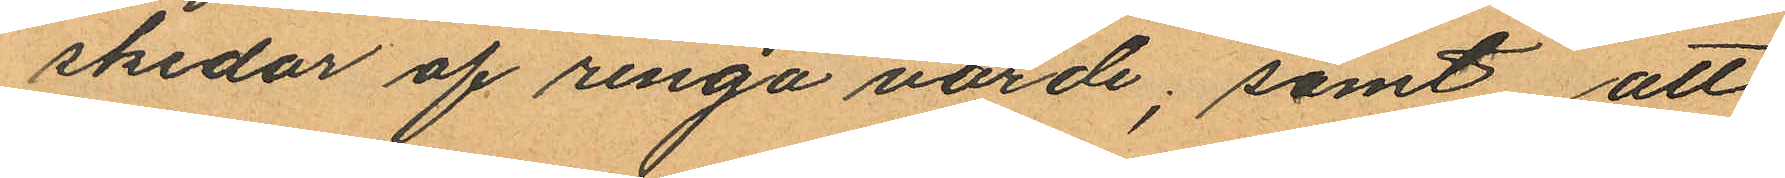skedar af ringa värde; samt att
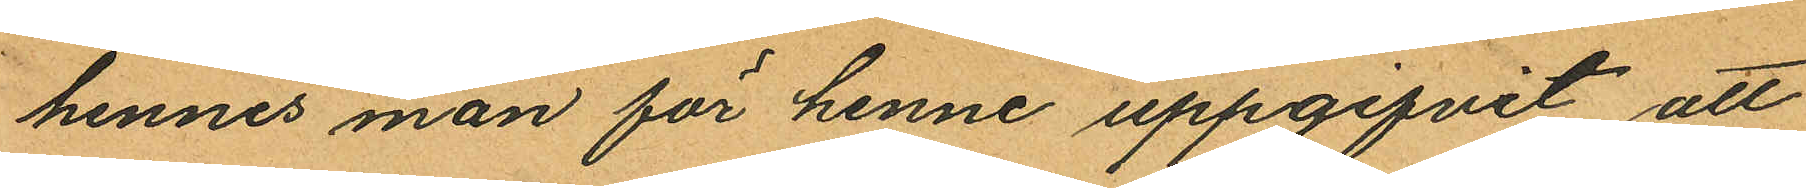hennes man för henne uppgifvit att
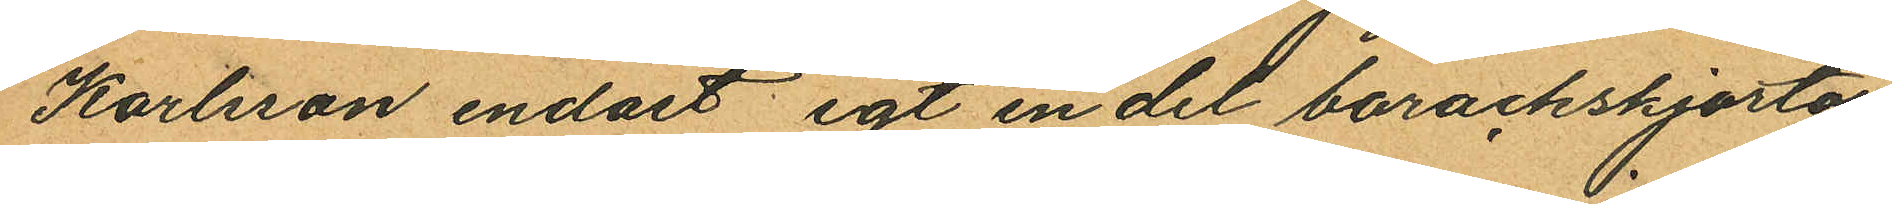Kartsson endast egt en del barackskjortor.
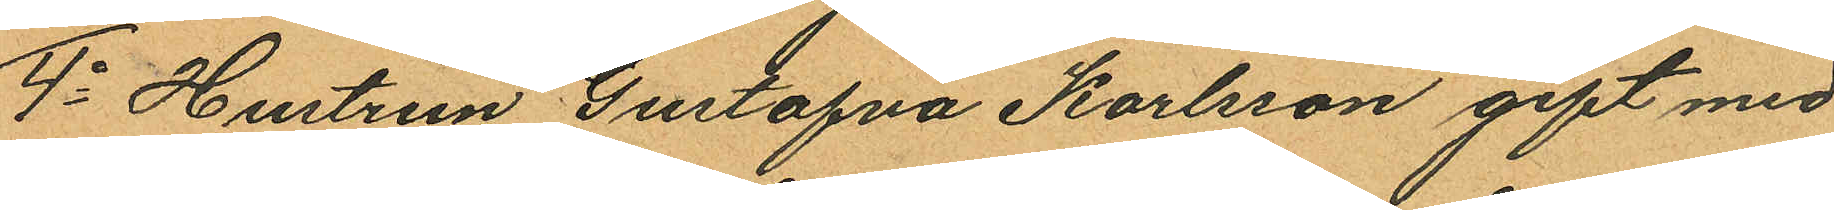4o Hustrun Gustafva Karlsson gift med
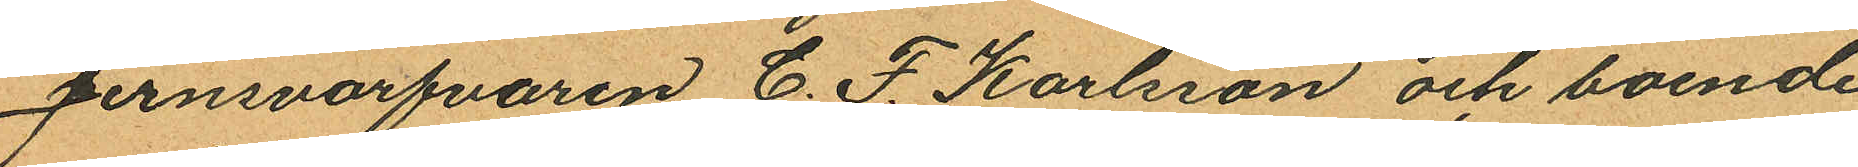Jernsvarfvaren C. F. Karlsson och boende
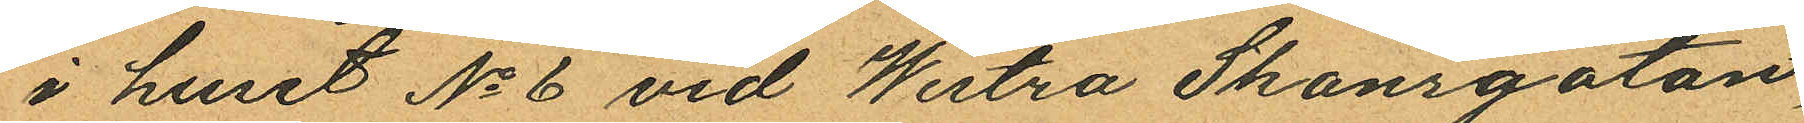i huset No 6 vid Westra Skansgatan,
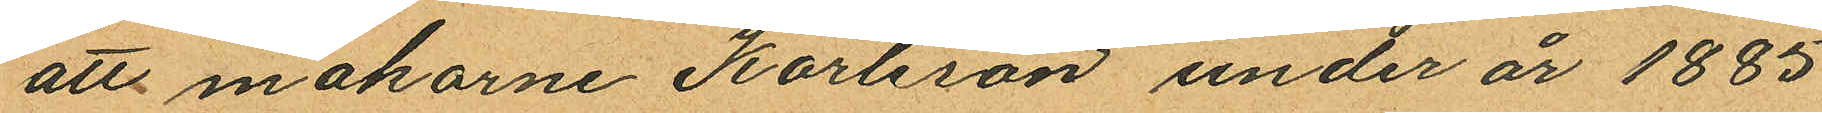att makarne Karlsson under år 1885
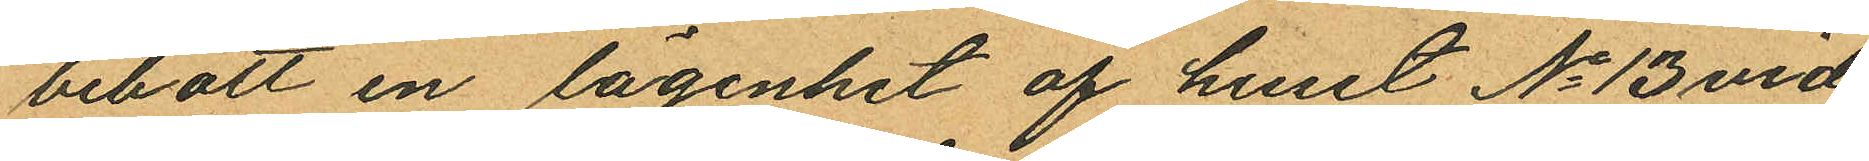bebott en lägenhet af huset No 13 vid
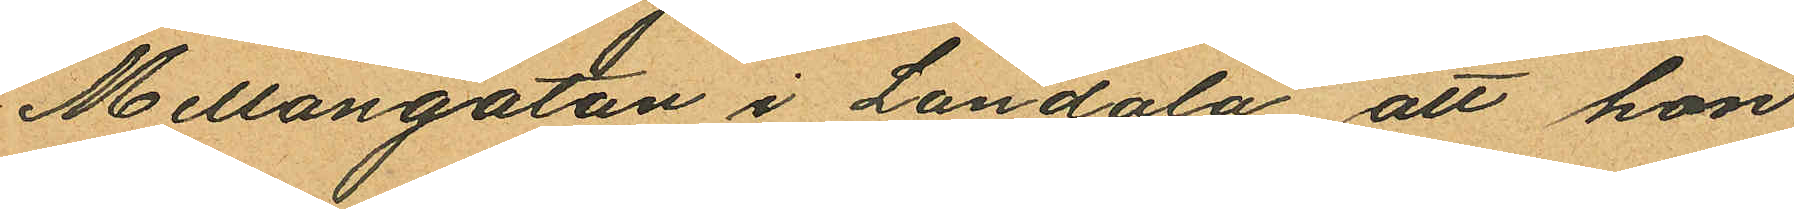Mellangatan i Landala, att hon
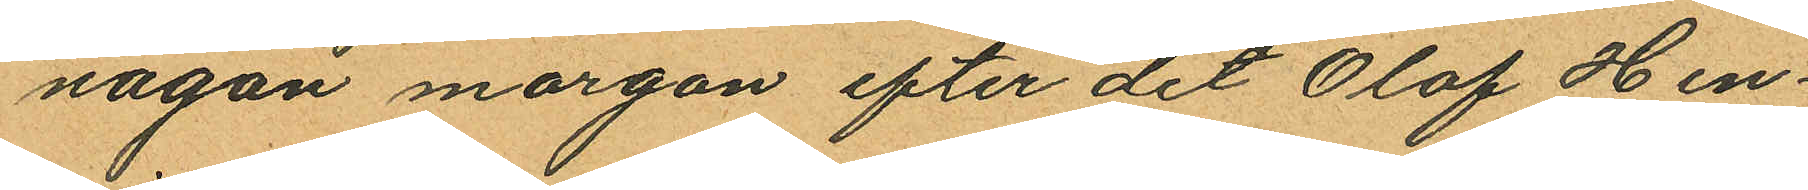någon morgon efter det Olof Hen¬
